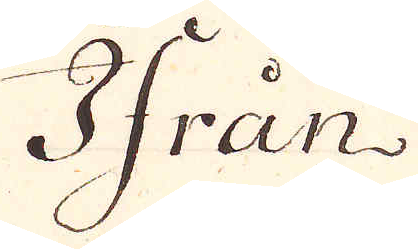Ifrån
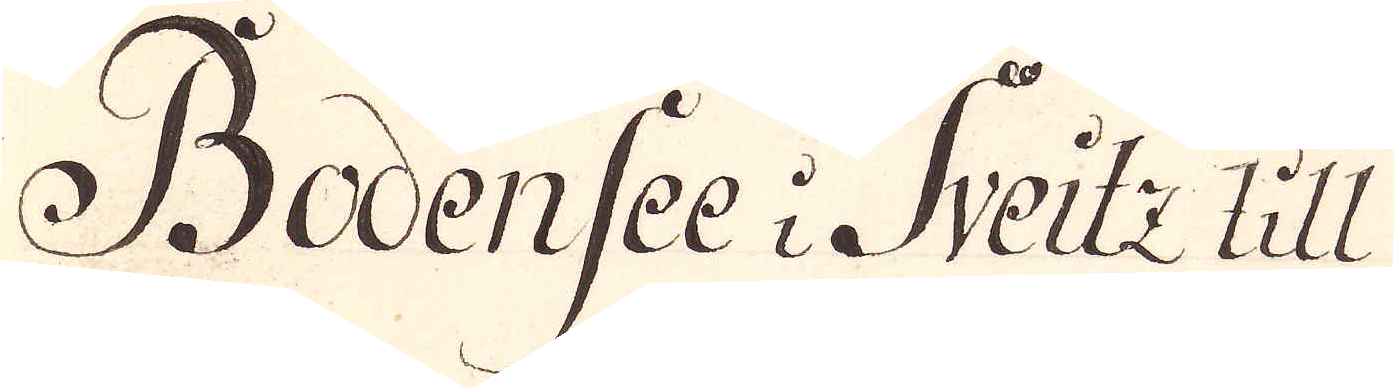Bodensee i Sveitz till
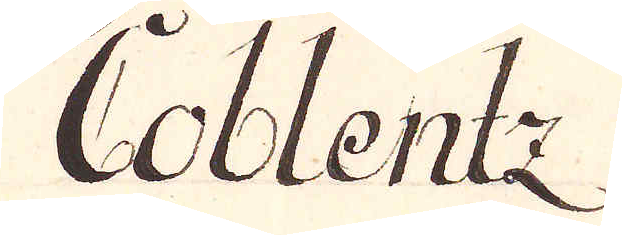Coblentz
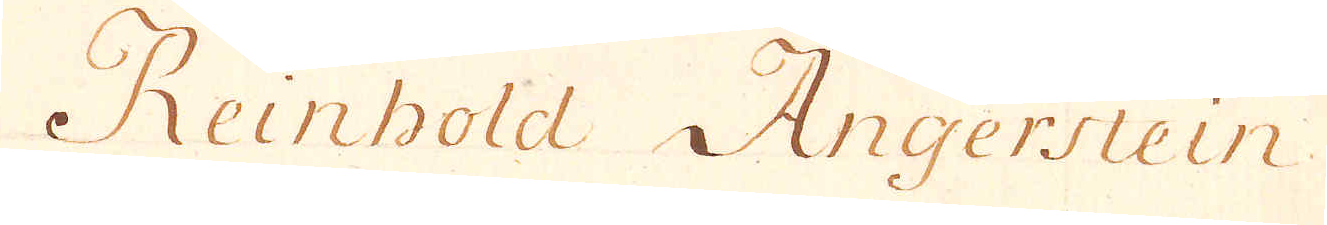Reinhold Angerstein
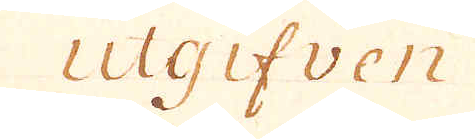utgifven
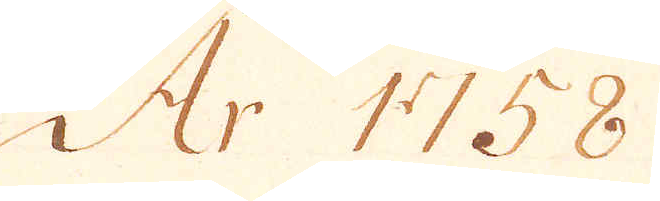År 1758
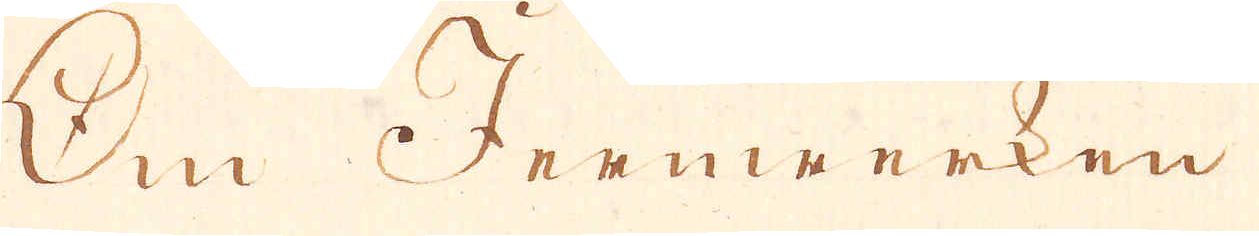Om Jernwerken
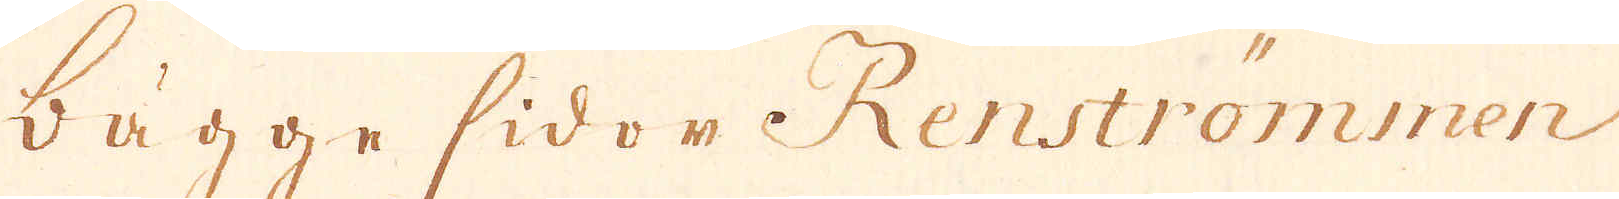bägge sidor Renströmmen
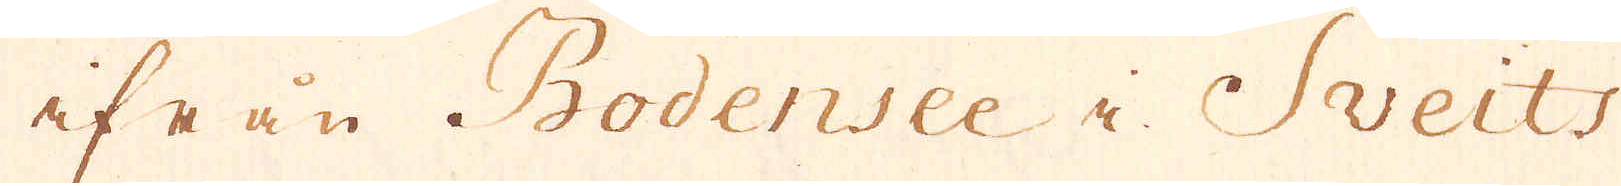ifrån Bodensee i Sveits
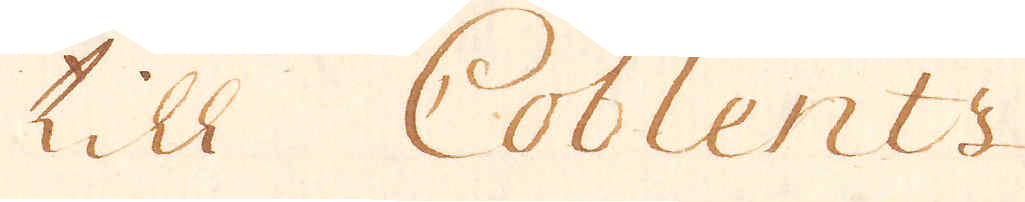till Coblentz
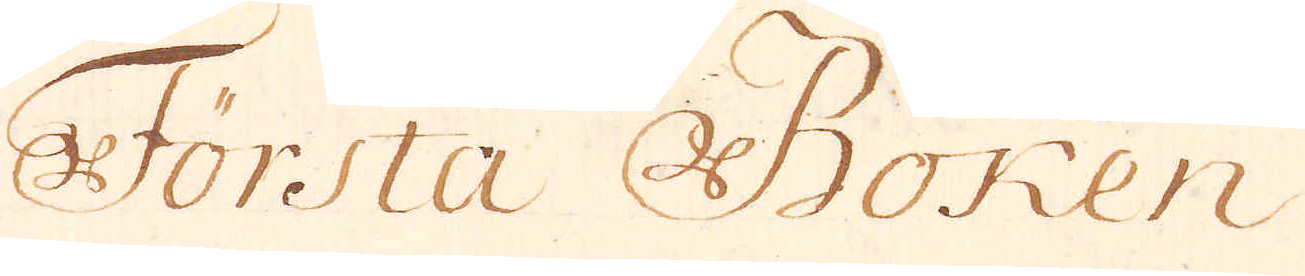Första Boken
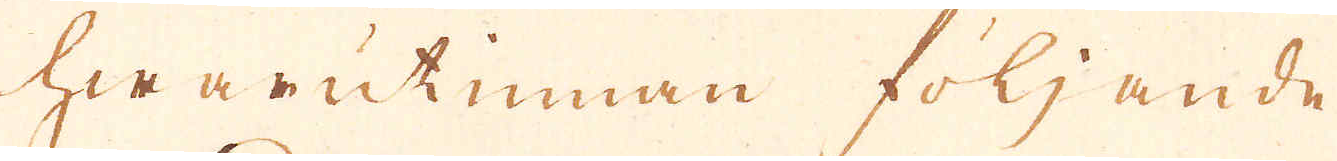hwarutinnan följande
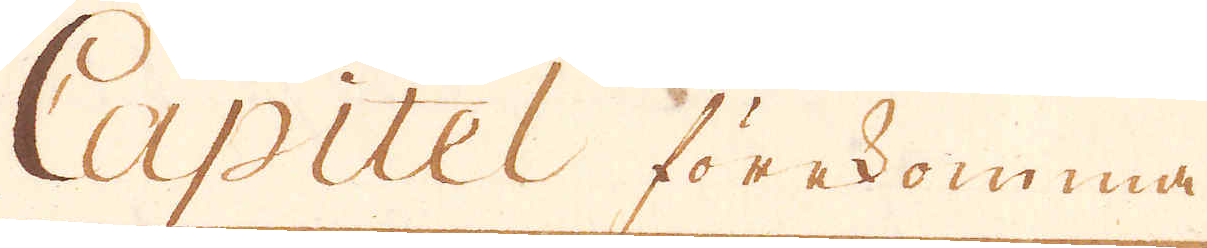Capitel förekomma
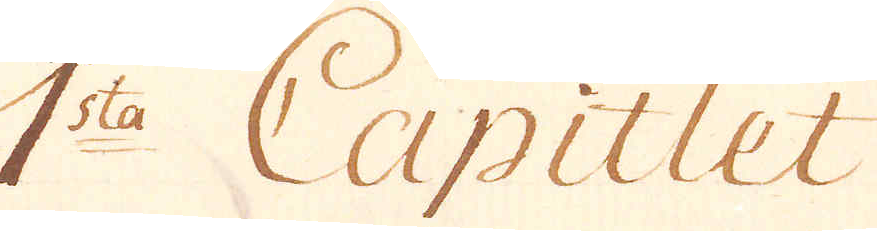1:sta Capitlet
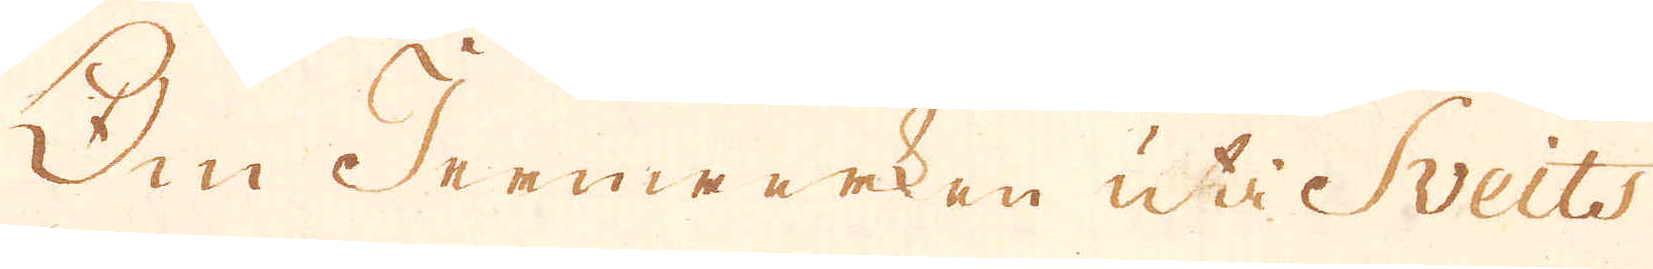Om Jernwerken uti Sveits
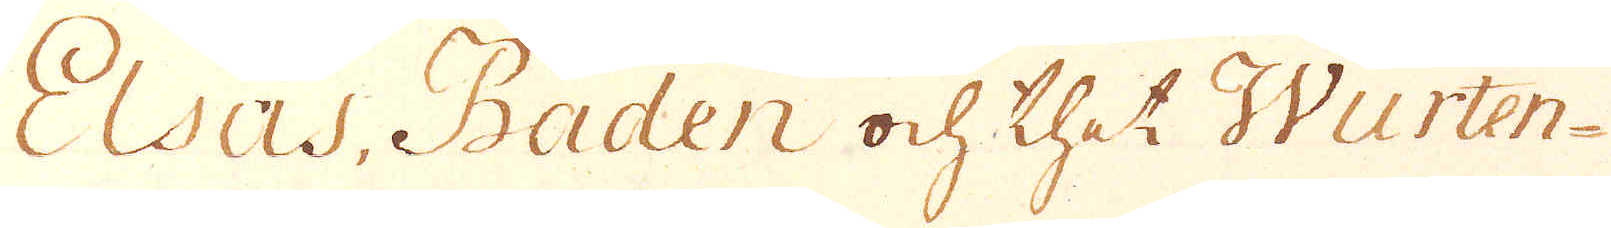Elsas, Baden och thet Wurten-
